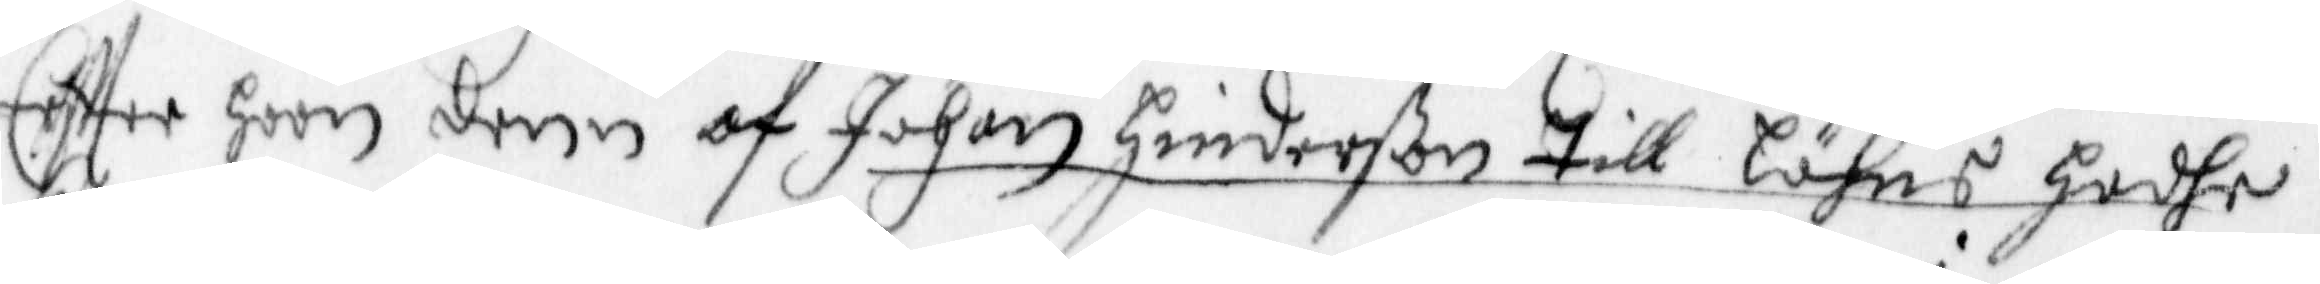effter hoon denn af Johan Hinderßon Till Löhns hadhe,
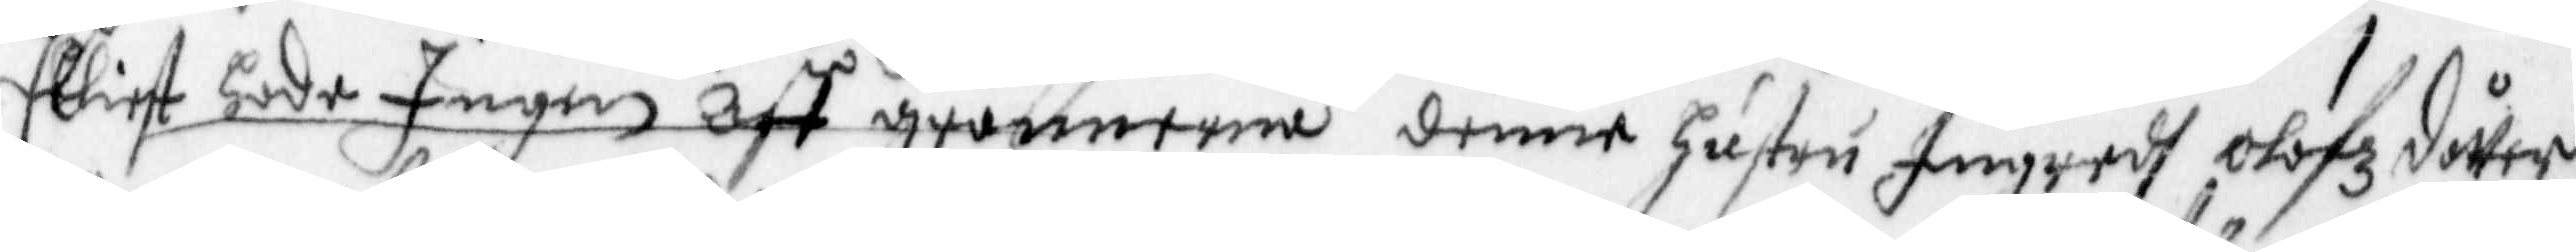Elliest hade Ingen aff grannerna denne Hustru Ingredh Olofzdotter
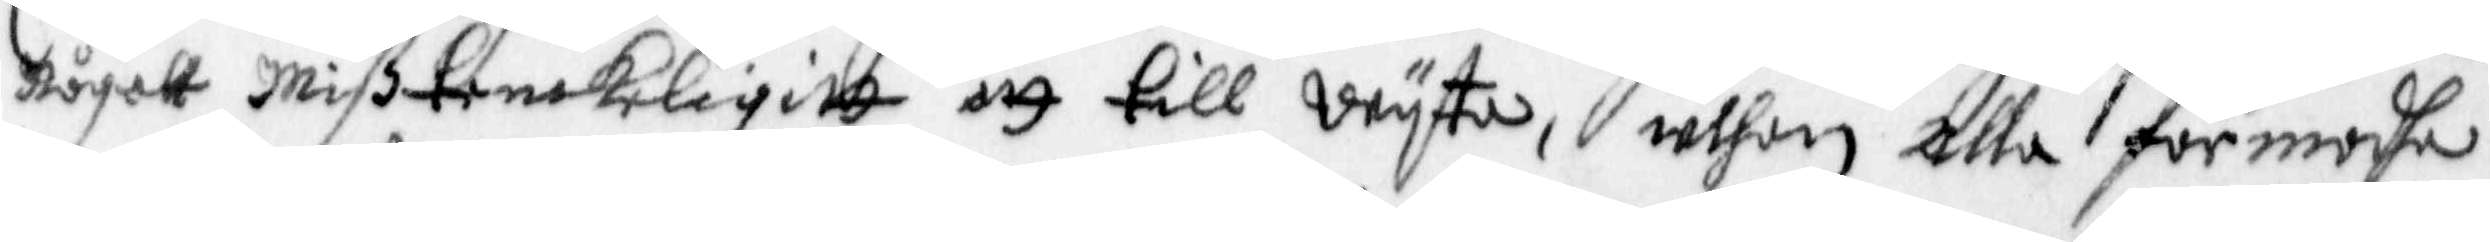något mißtenkeligitt att till wyta, uthan alla förmodha
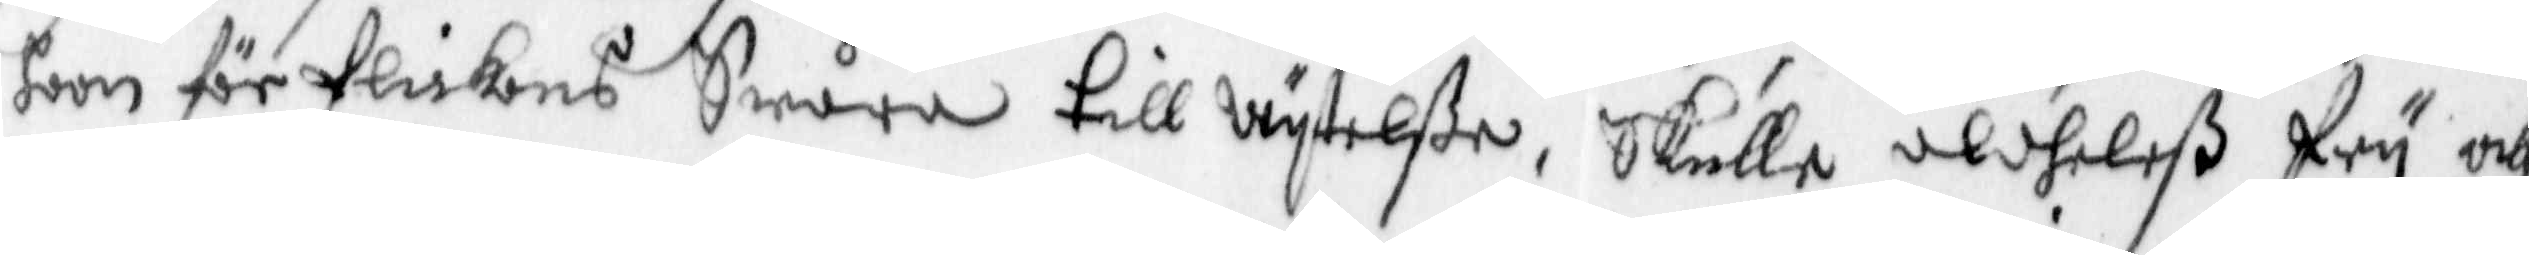hoon för flickans Swåra till wyttelße, Skulle aldeles fry och
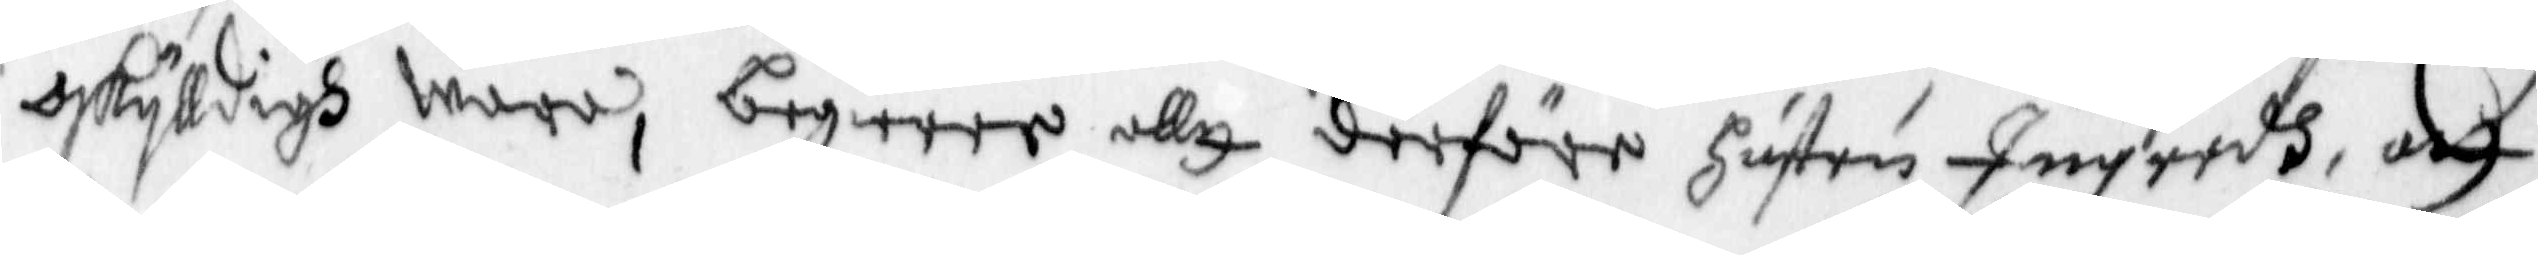oskylldigh wara, begiärer allt derföre Hustru Ingredh, att
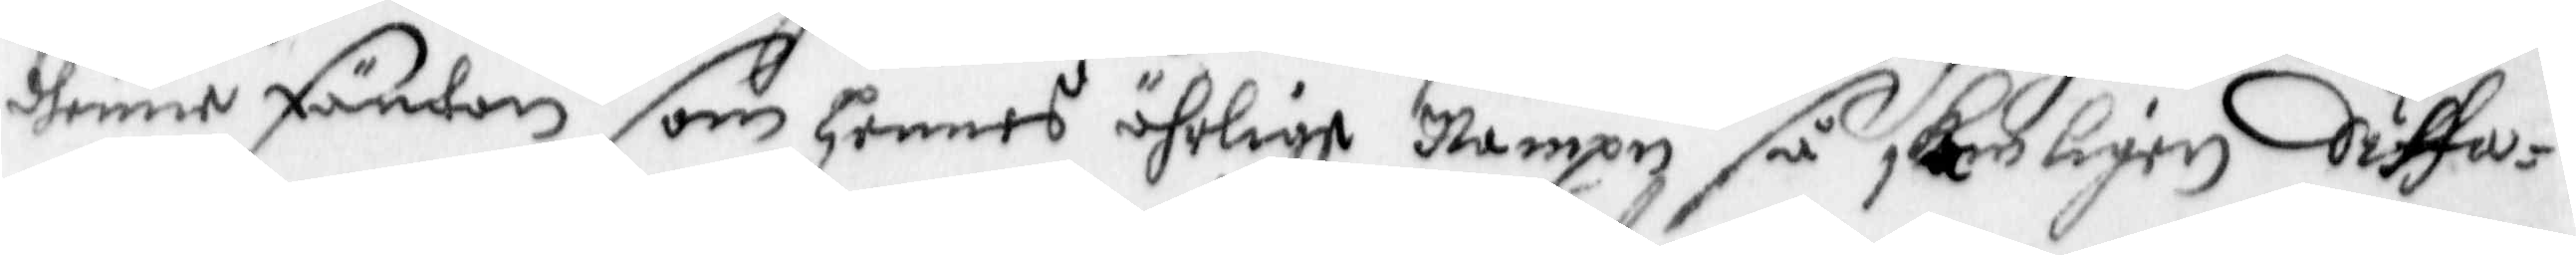denne Fäntan som hennes ährlige Nampn så skeligen Siffa¬
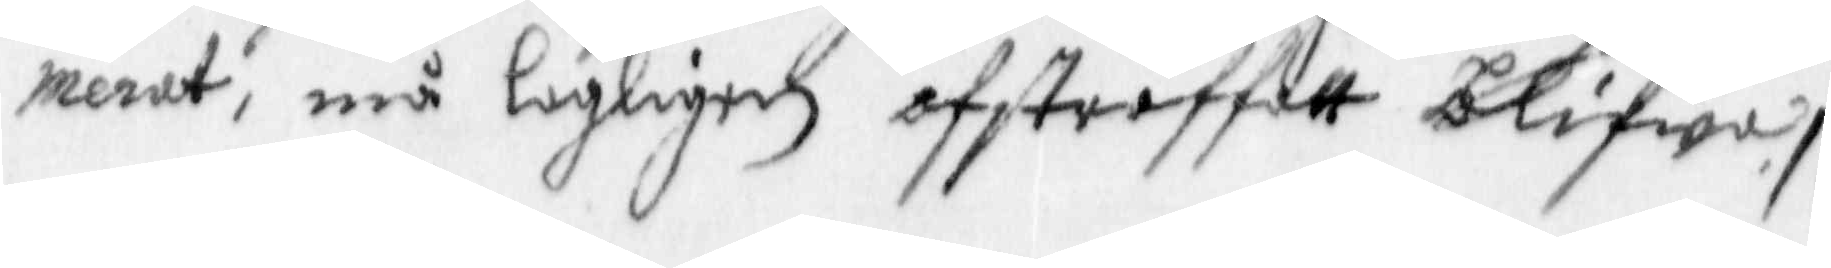merat, må lagligen afstraffatt blifwa/:
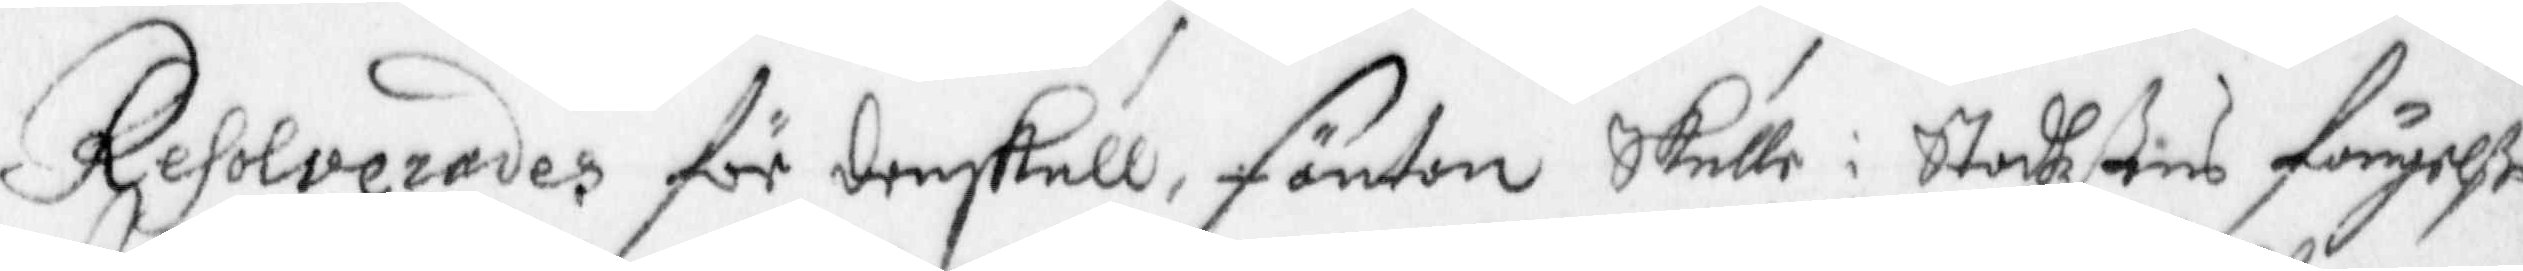Resolverades för denskull, fäntan skulle i Stadhzßens fängelße
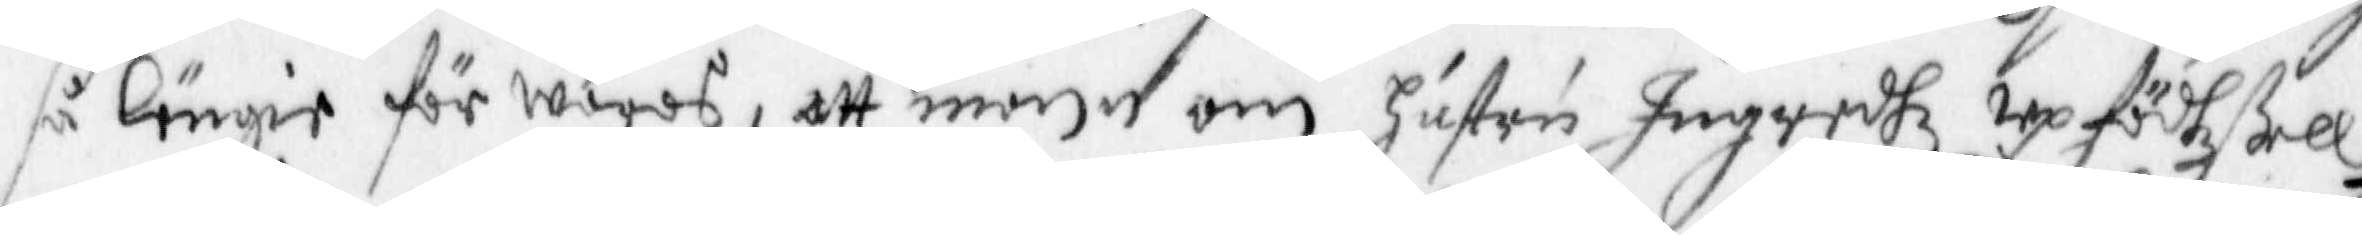så länge förwaras, att monn om Hustru Ingredhz Upfödzßell
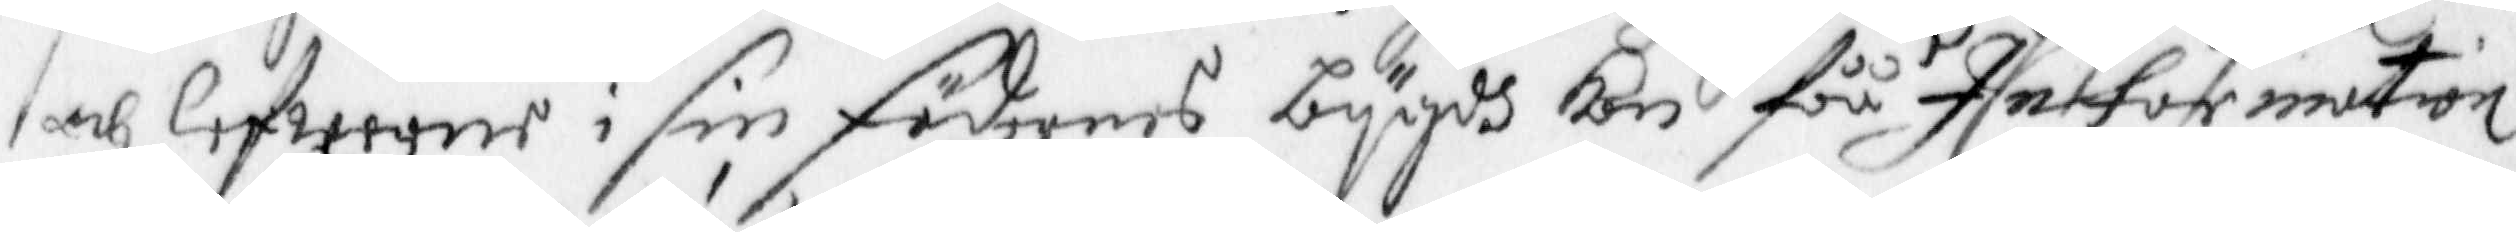och lefwerne i sin födernes bygdh kan fåå Information
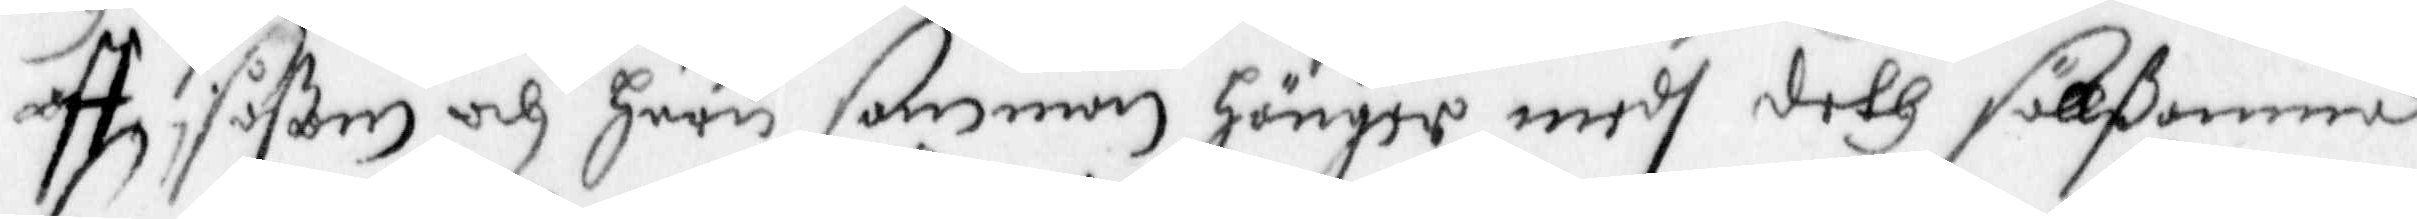aff såßom och huru samman hänger medh deth sällßamma
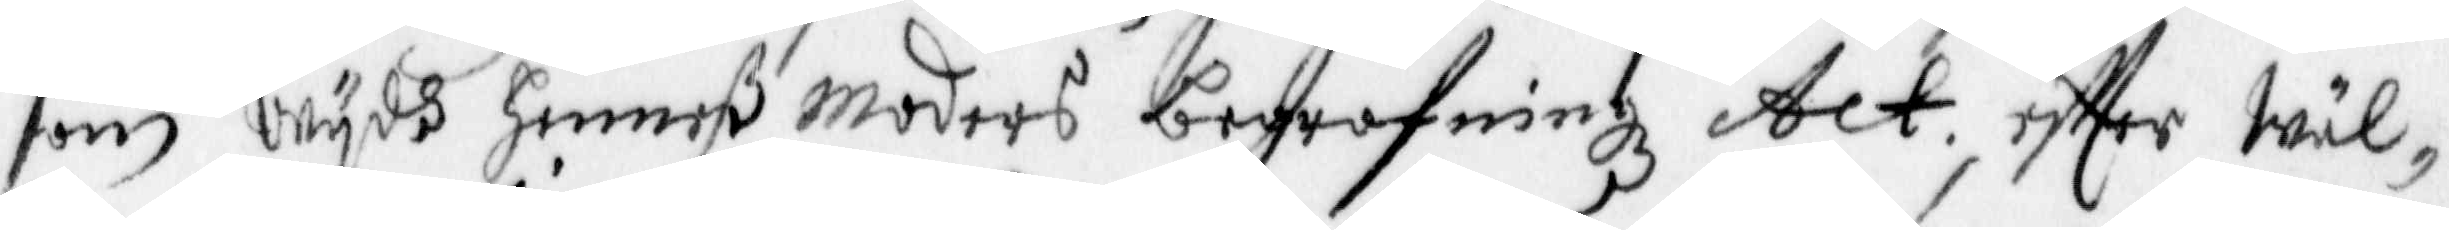som wydh henneß moders begrafningz Act, effter Wäl¬
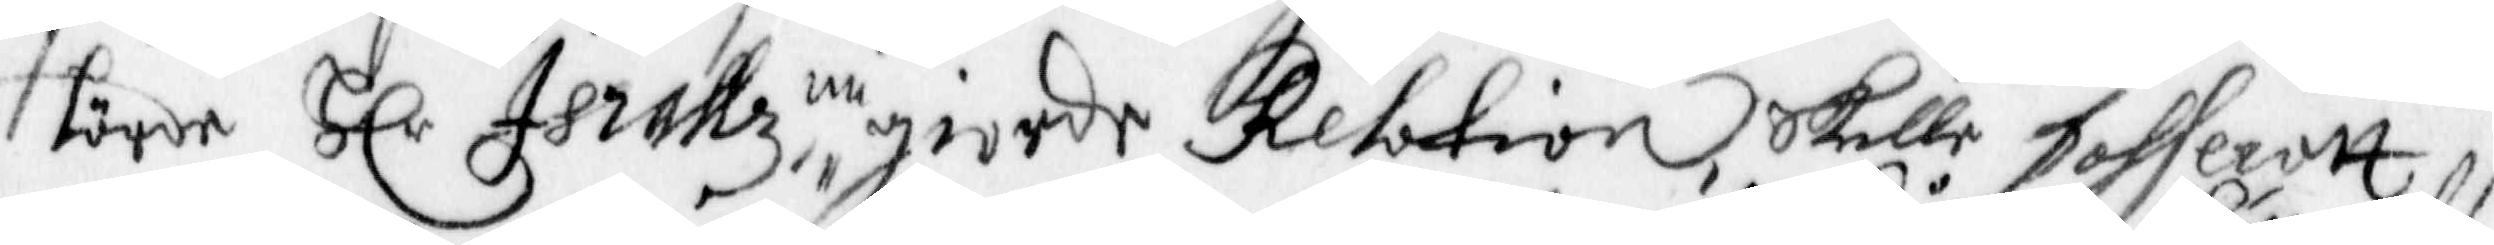hörde Hlr Israllz nu giorde Relation skulle pohseratt,
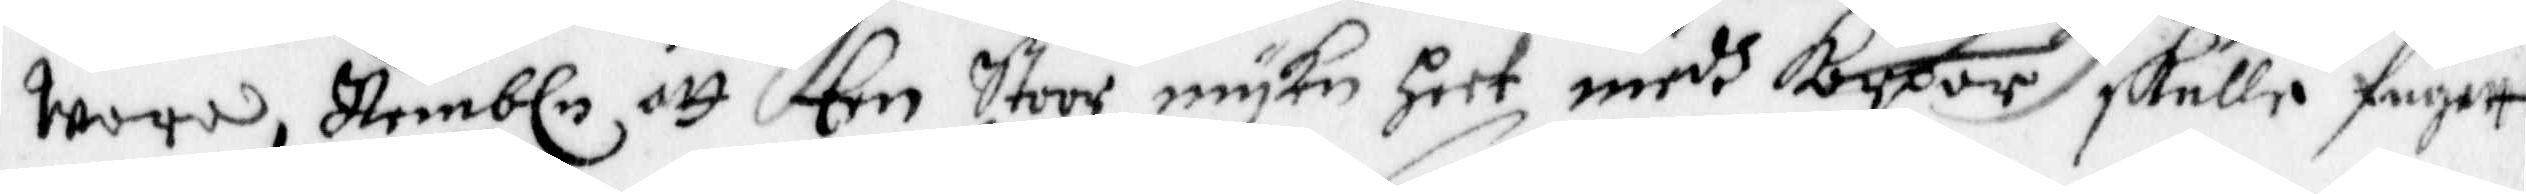wara Nembln att Een Stoor mycken heet medh kårpor skulle fugett
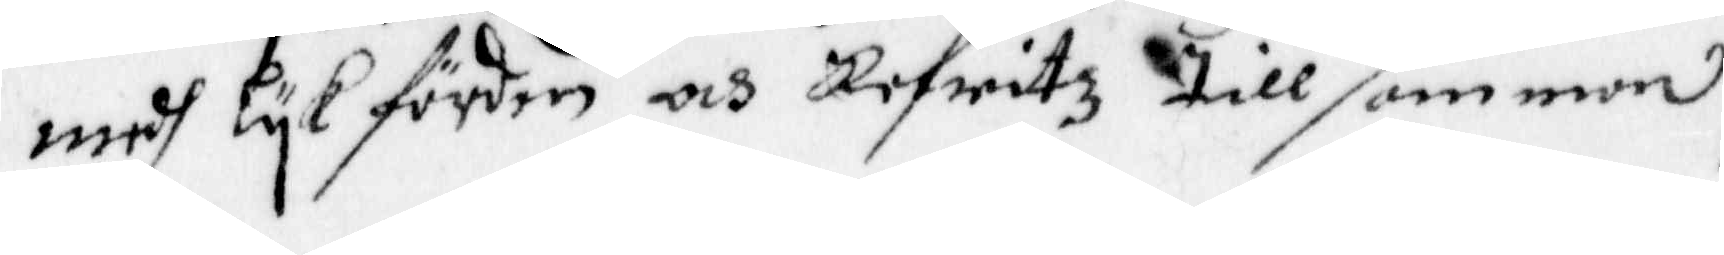medh lyk förden och Refwitz tillsamman,
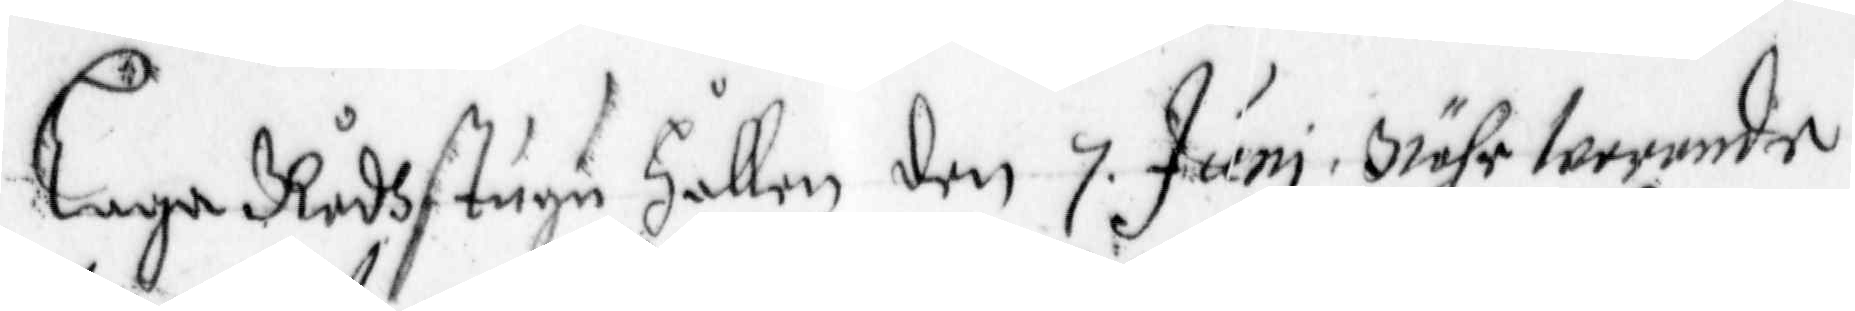Laga Rådhstugu Hållen den 7 Juni Nähr warande
